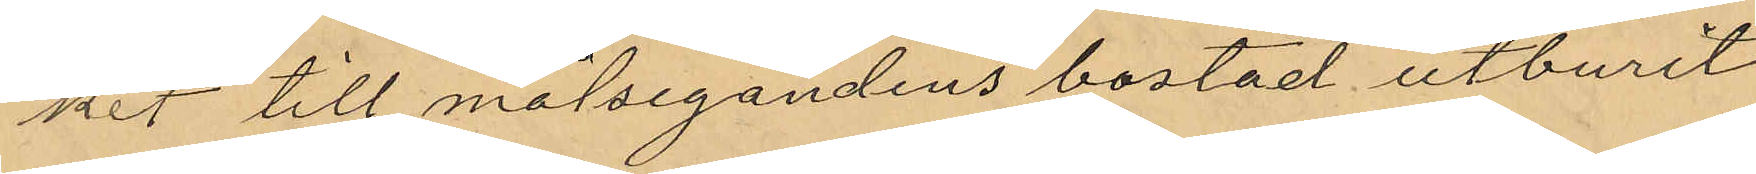ket till målsegandens bostad utburit
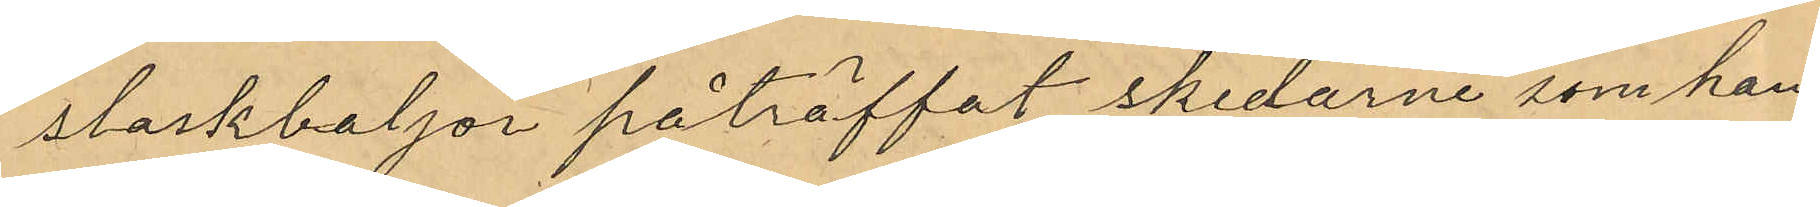slaskbaljor påträffat skedarne som han
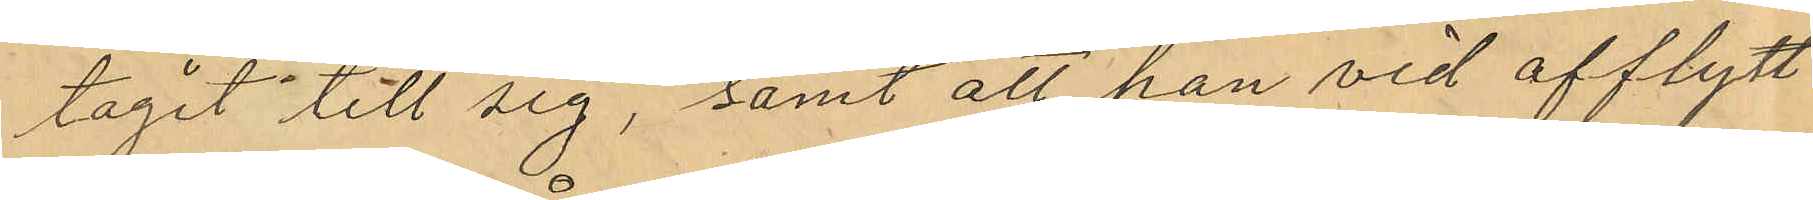tagit till sig, samt att han vid afflytt¬
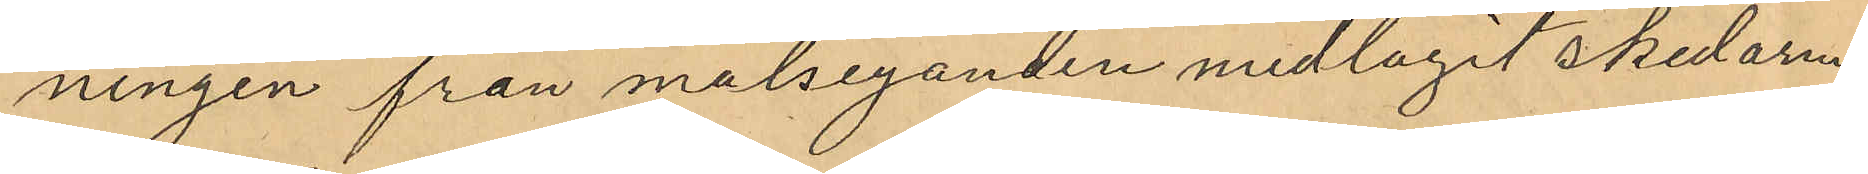ningen från målseganden medlagit skedarne
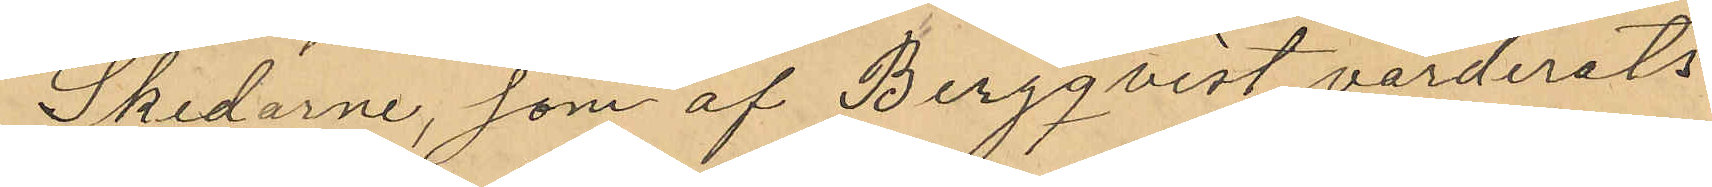Skedarne, som af Bergqvist värderats
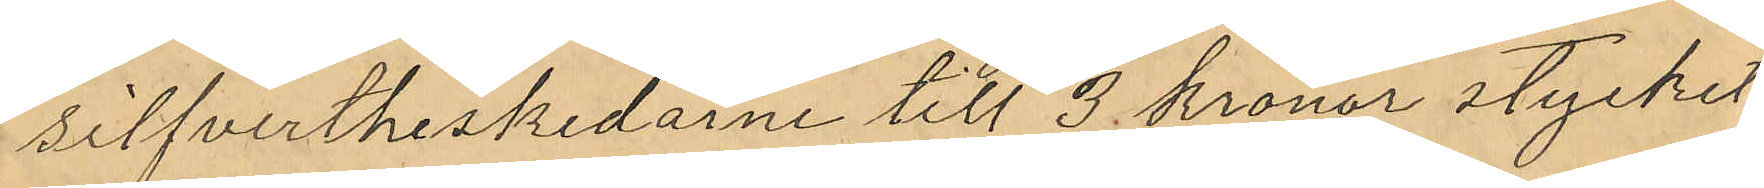silfvertheskedarne till 3 kronor stycket
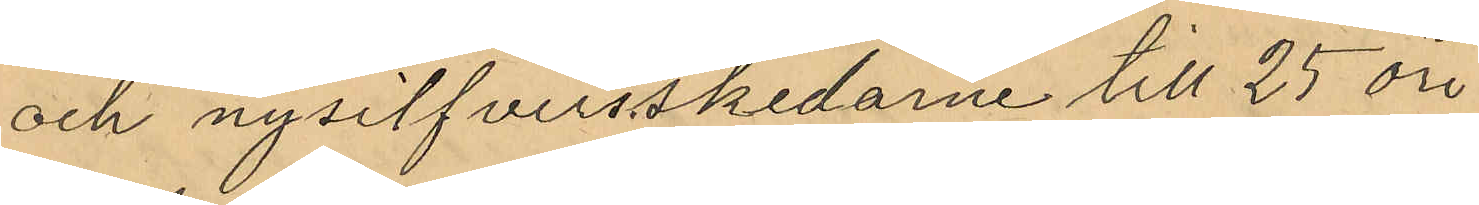och nysilfversskedarne till 25 öre
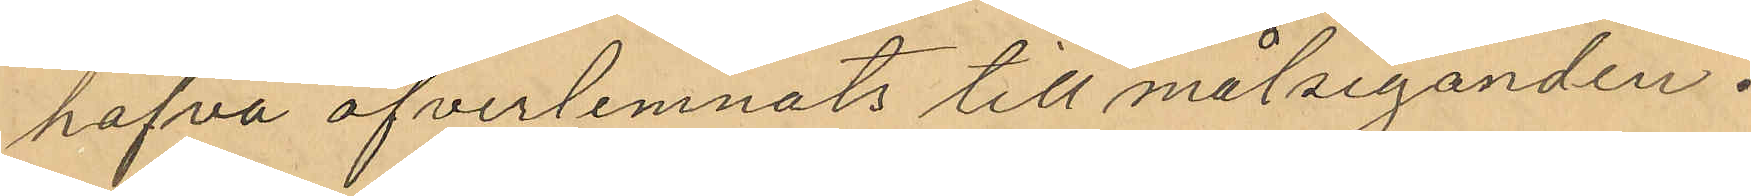hafva öfverlemnats till målseganden.
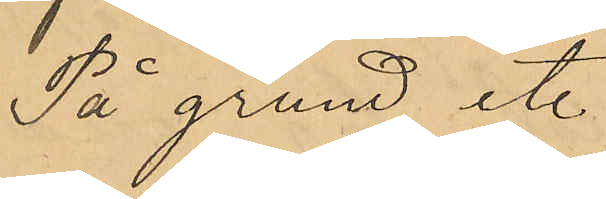På grund et.
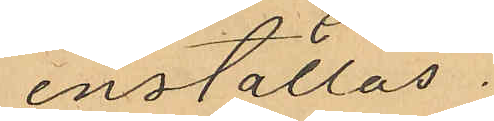inställas
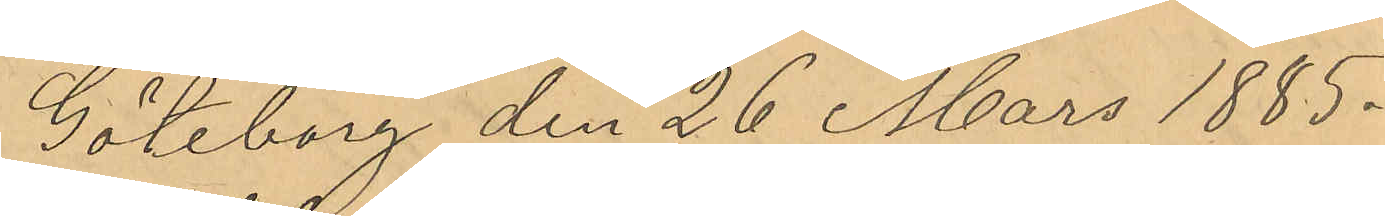Göteborg den 26 Mars 1885.
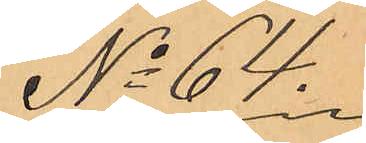No 64.
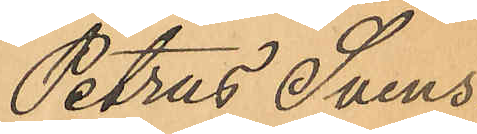Petrus Svens¬
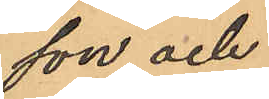son och
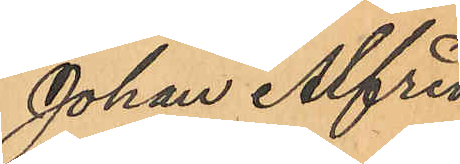Johan Alfred
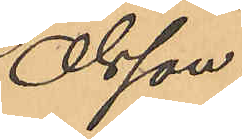Olsson.
